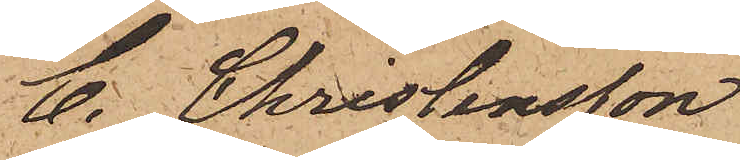C. Christensson
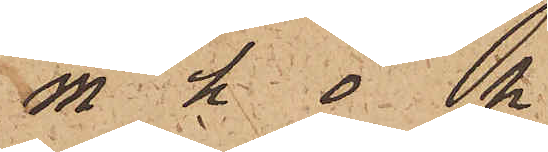m. h. o p
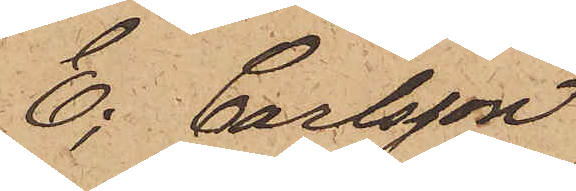E; Carlsson
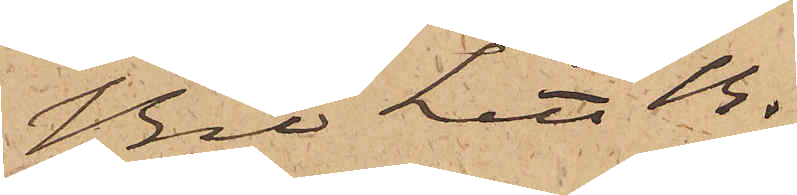Bil Litt B.
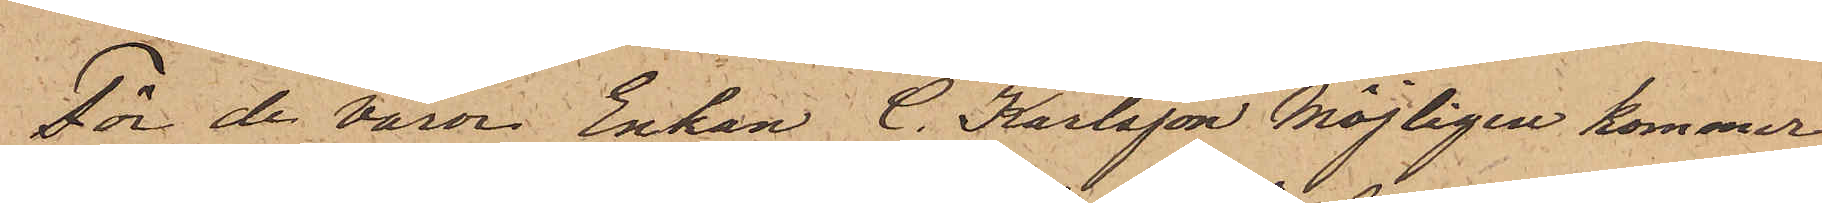För de varor Enkan C. Karlsson möjligen kommer
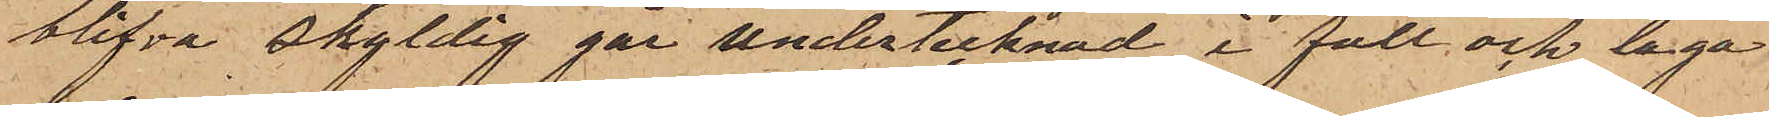blifva skyldig går undertecknad i full och laga
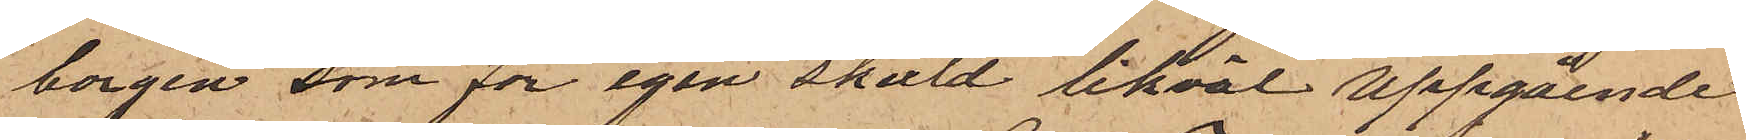borgen som för egen skuld likväl uppgående
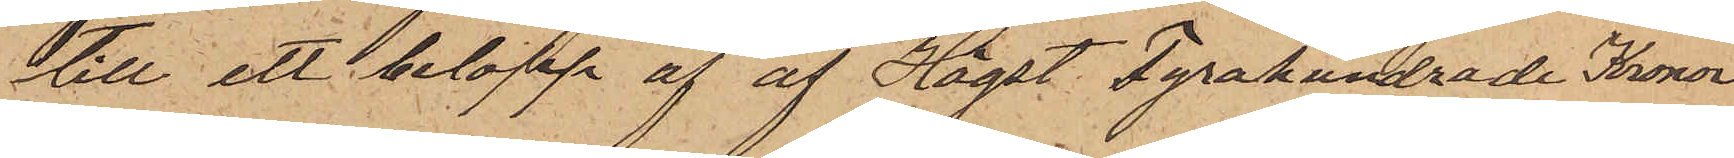till ett belopp af af Högst Fyrahundrade Kronor
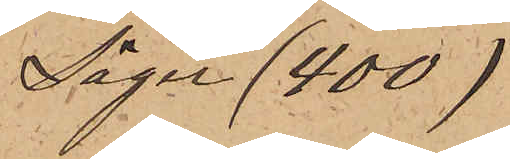Säger (400)
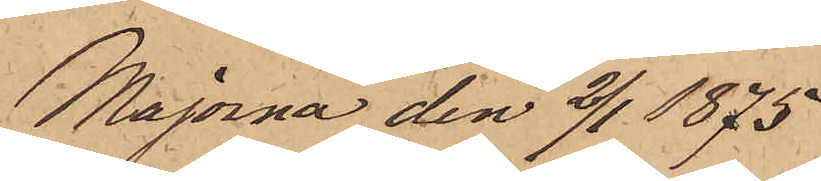Majorna den 2/1 1875
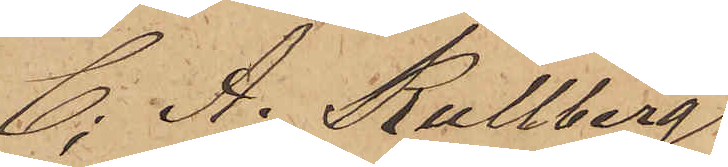C; A; Kullberg,
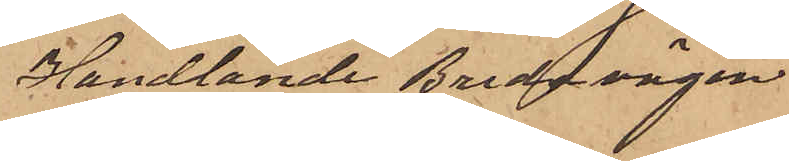Handlande Breda vägen
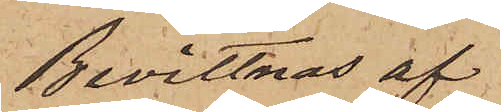Bevittnas af
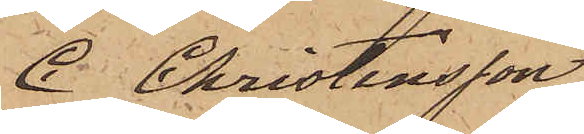C Christensson
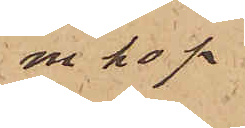m h o p
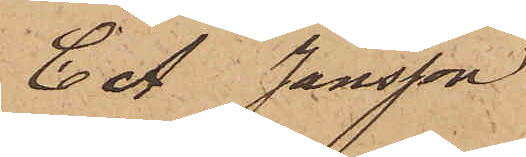C A Jansson
